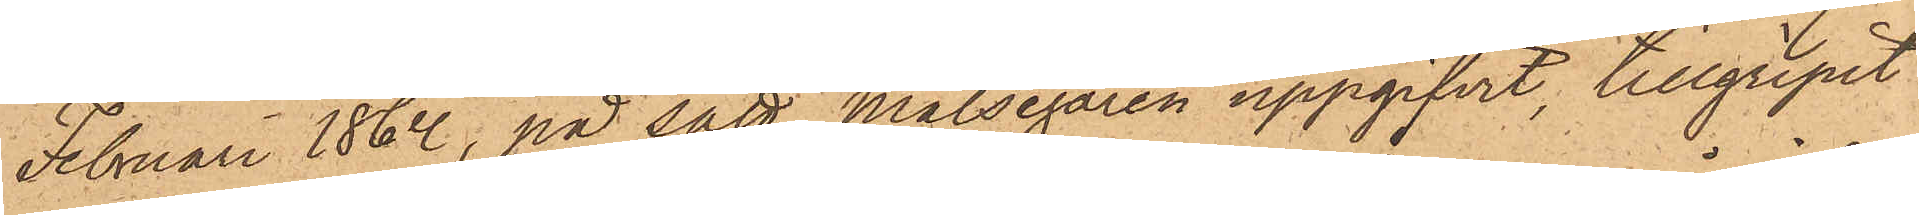Februari 1862, på sätt målsegaren uppgifvit, tillgripit
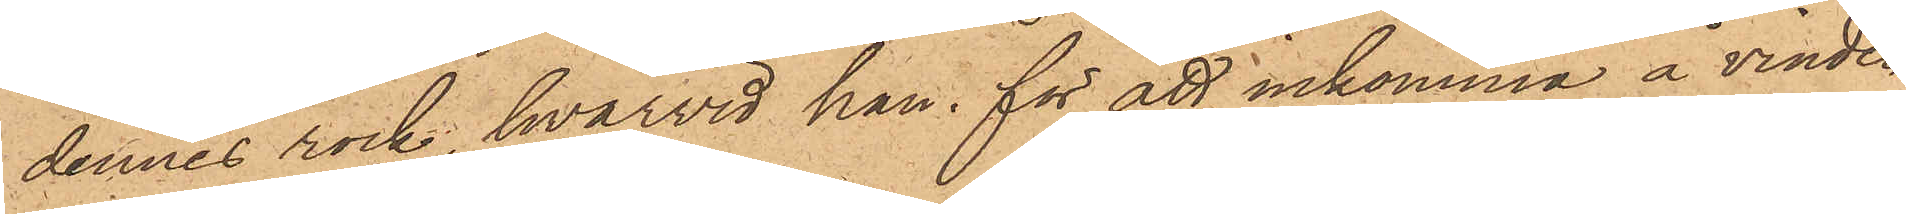dennes rock, hvarvid han för att inkomma å vinden
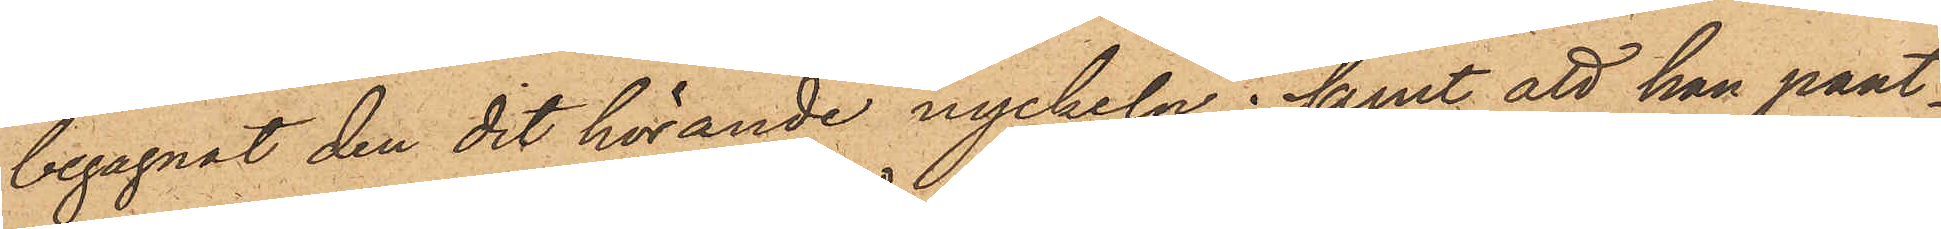begagnat den dit hörande nyckeln; samt att han pant¬
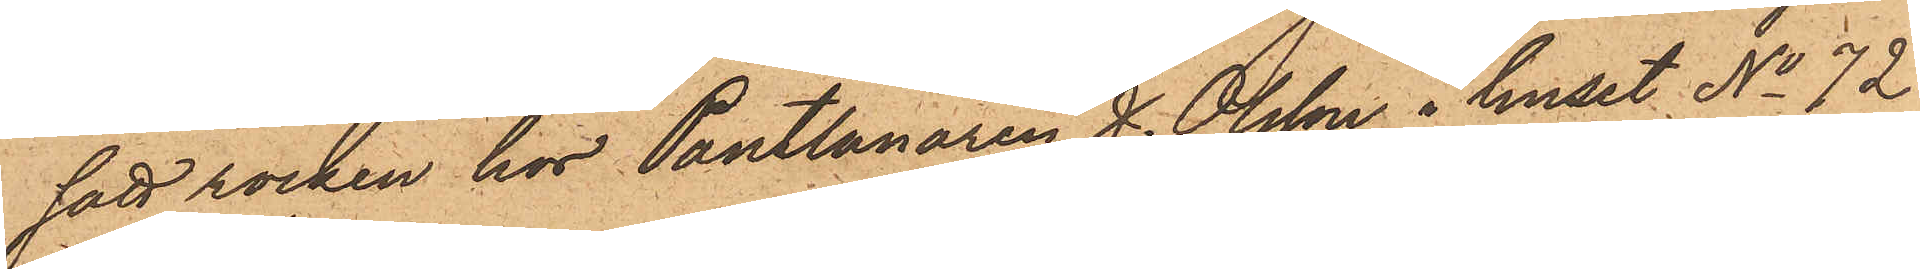satt rocken hos Pantlånaren H. Olsson i huset No 72
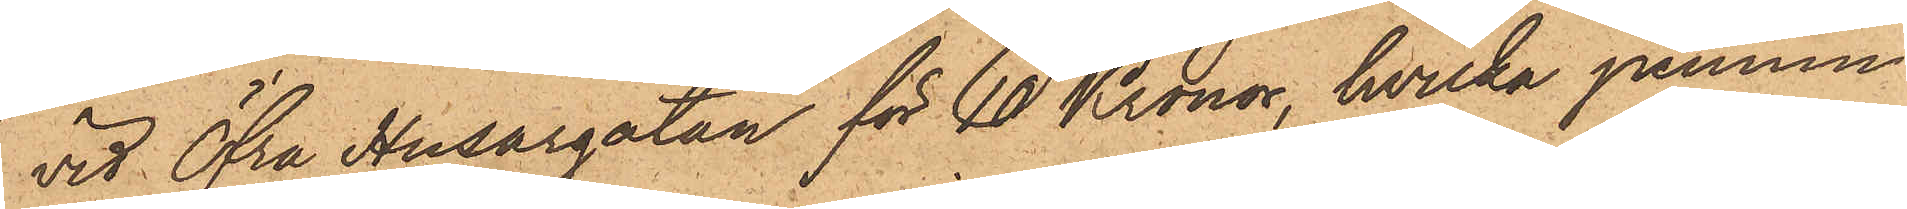vid Öfra Husargatan för 10 Kronor, hvilka pennin¬
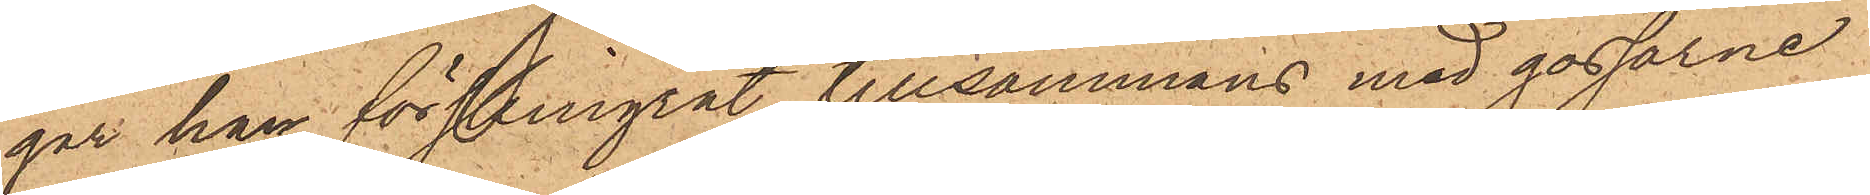gar han förskingrat tillsammans med gossarne
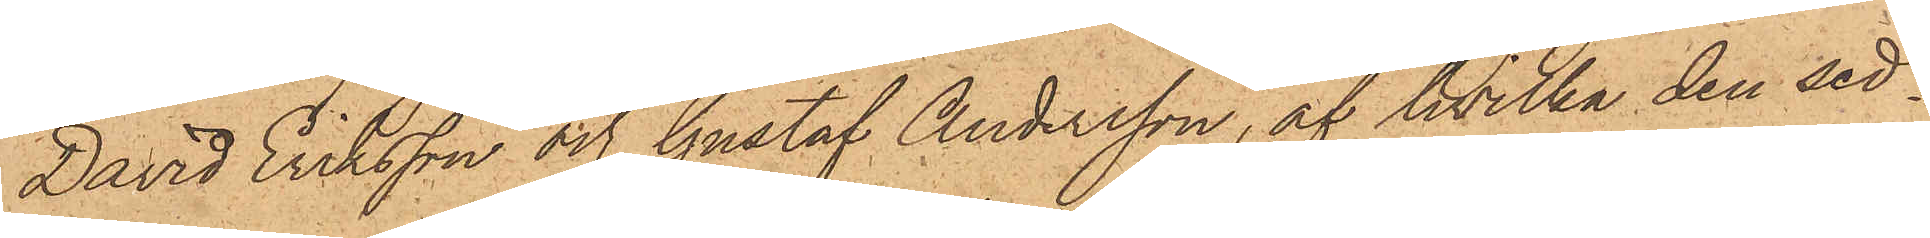David Eriksson och Gustaf Andersson, af hvilka den sed¬
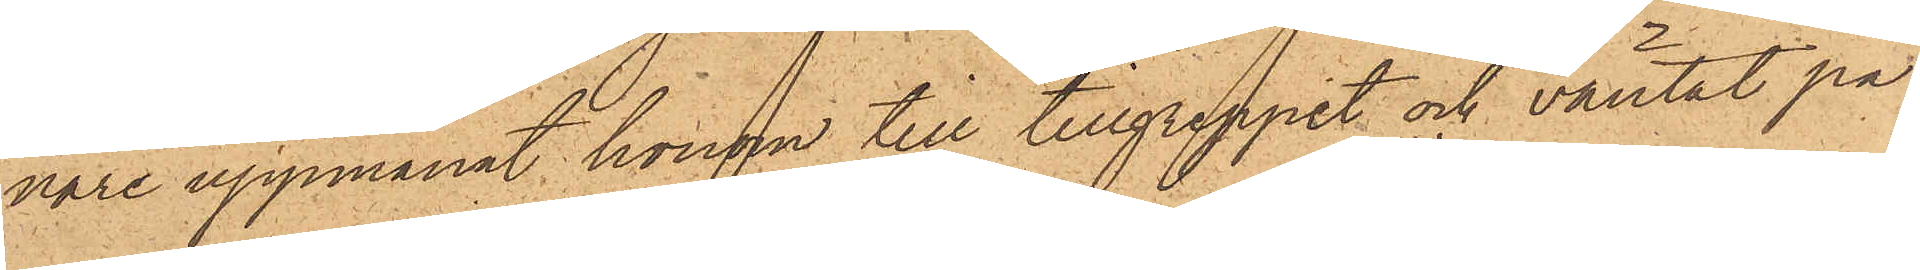nare uppmanat honom till tillgreppet och väntat på
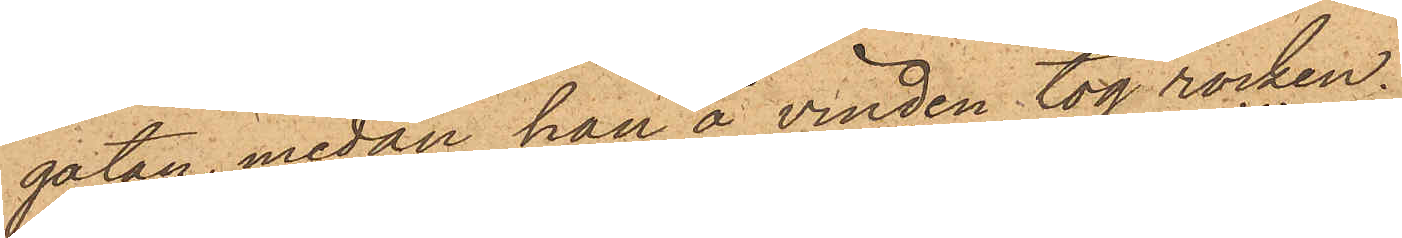gatan, medan han å vinden tog rocken.
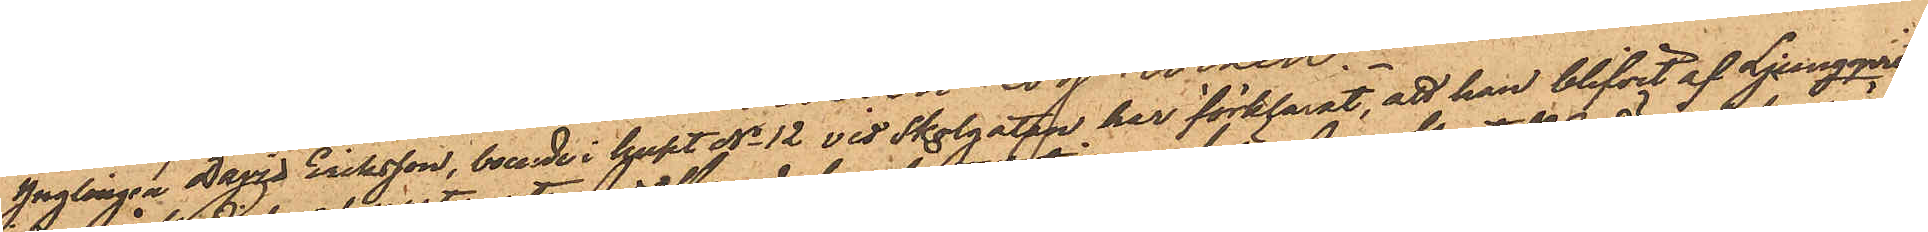Ynglingen David Eriksson, boende i huset No 12 vid Skolgatan har förklarat, att han blifvit af Ljungqvist
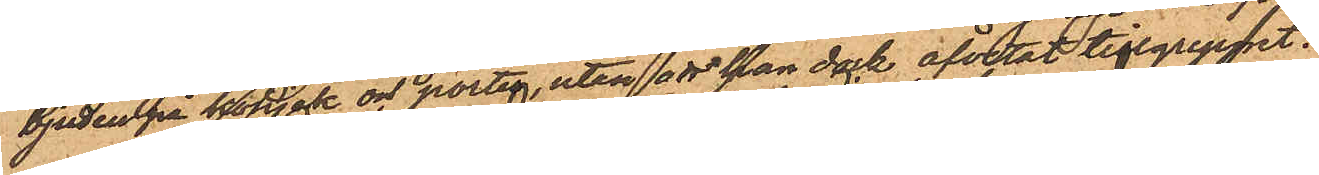bjuden på konjak och porter, utan att han dock afvetat tillgreppet.
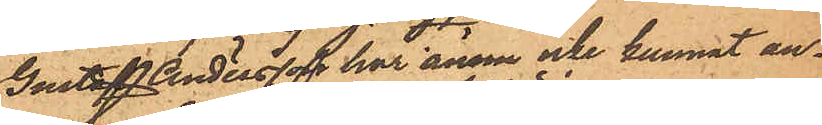Gustaf Andersson har ännu icke kunnat an¬
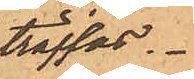träffas.
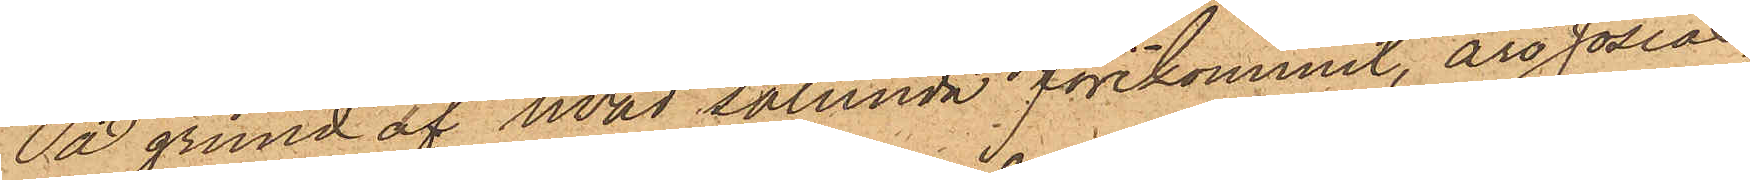På grund af hvad sålunda förekommit, äro Josias
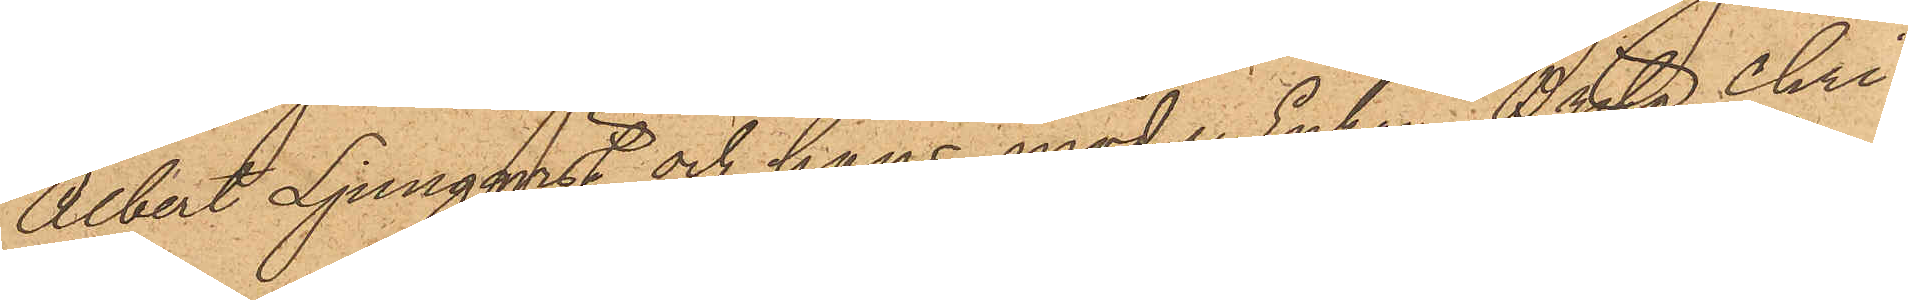Albert Ljungqvist och hans moder Enkan Brita Chri¬
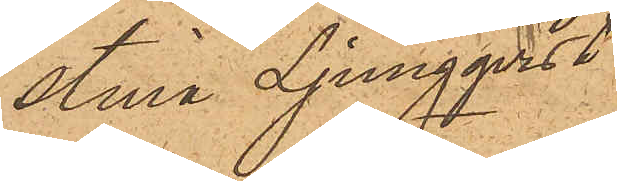stina Ljungqvist
